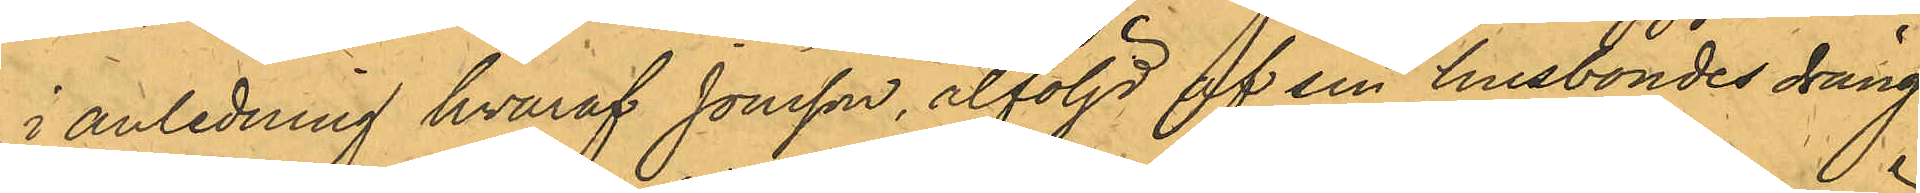i anledning hvaraf Jonsson, åtföljd af sin husbondes dräng
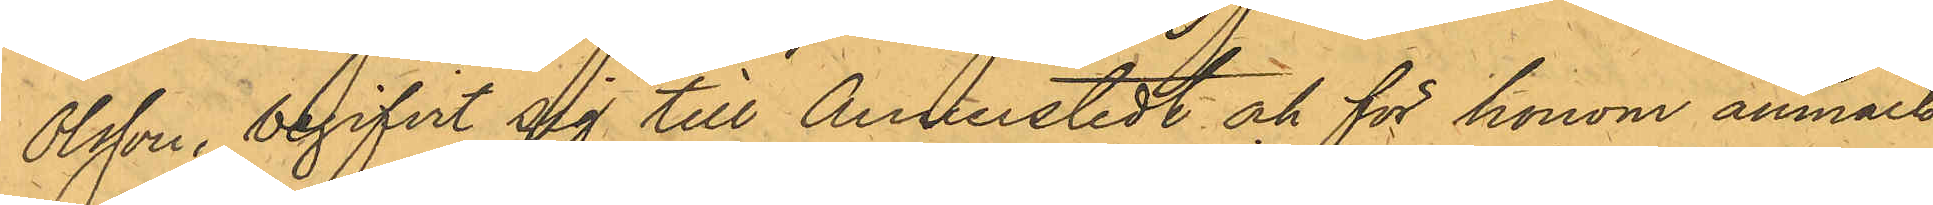Olsson, begifvit sig till Annerstedt och för honom anmält
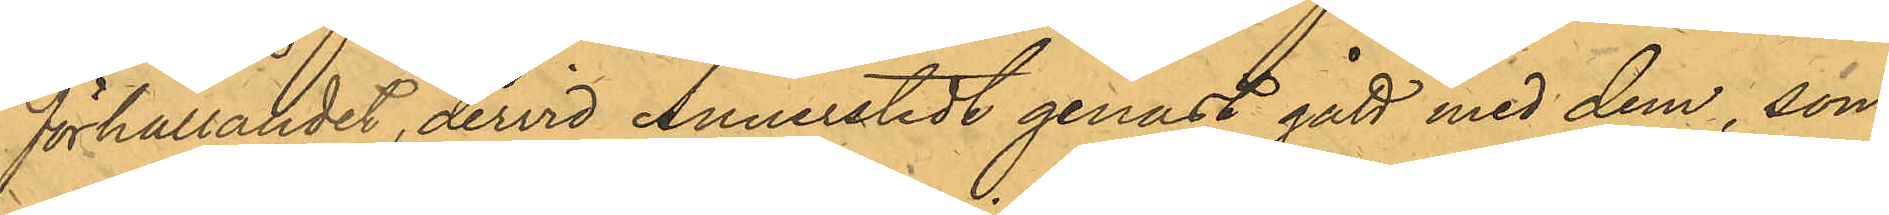förhållandet, dervid Annerstedt genast gått med dem, som
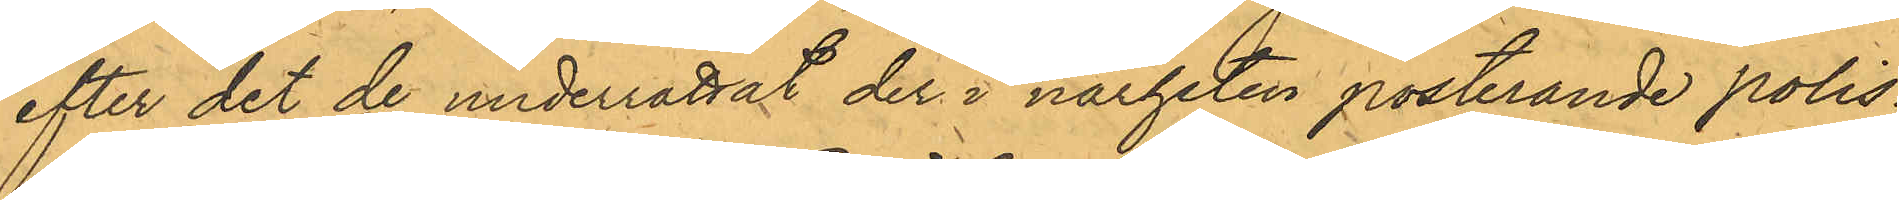efter det de underrättat der i närheten posterande polis¬
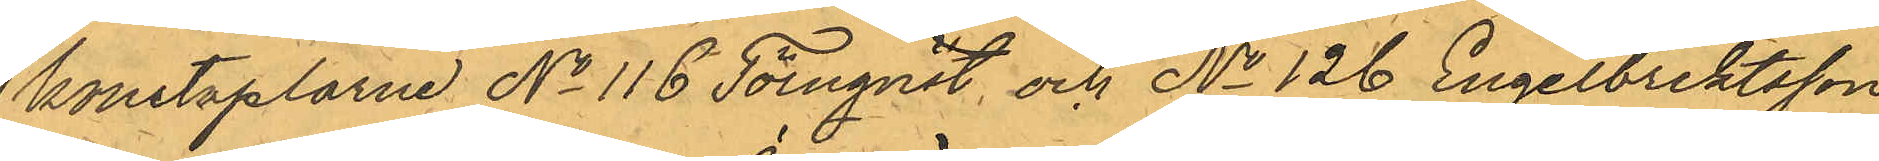konstaplarne No 116 Törnqvist och No 126 Engelbrektsson
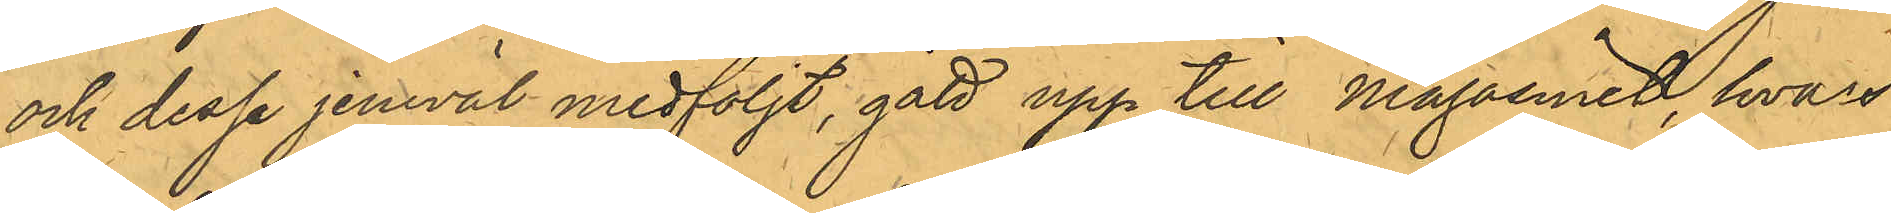och dessa jemväl medföljt, gått upp till Magasinet, hvars
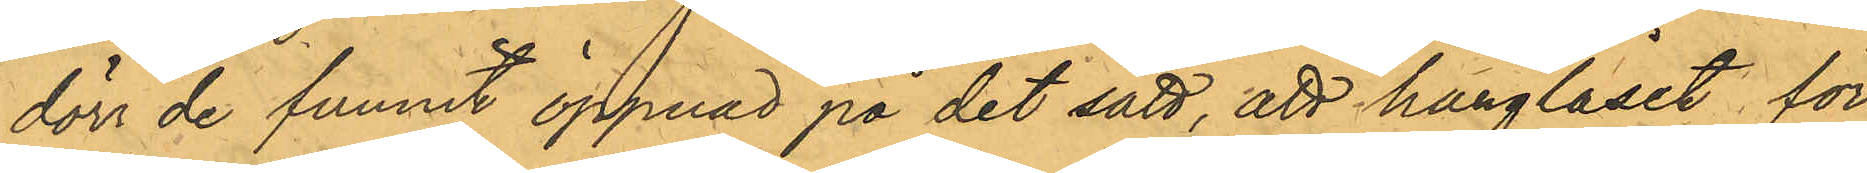dörr de funnit öppnad på det sätt, att hänglåset för
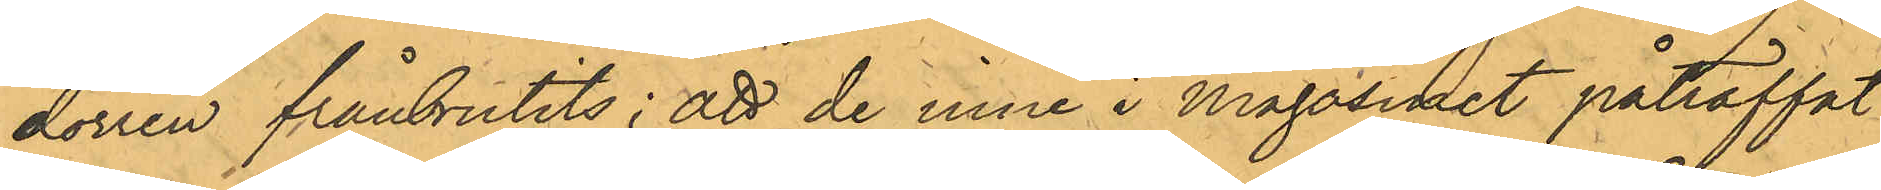dörren frånbrutits; att de inne i Magasinet påträffat
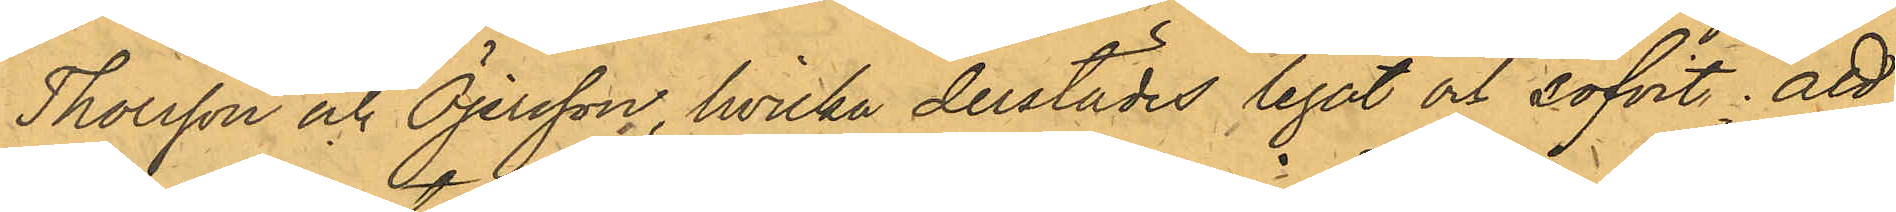Thorsson och Öjersson, hvilka derstädes legat och sofvit; att
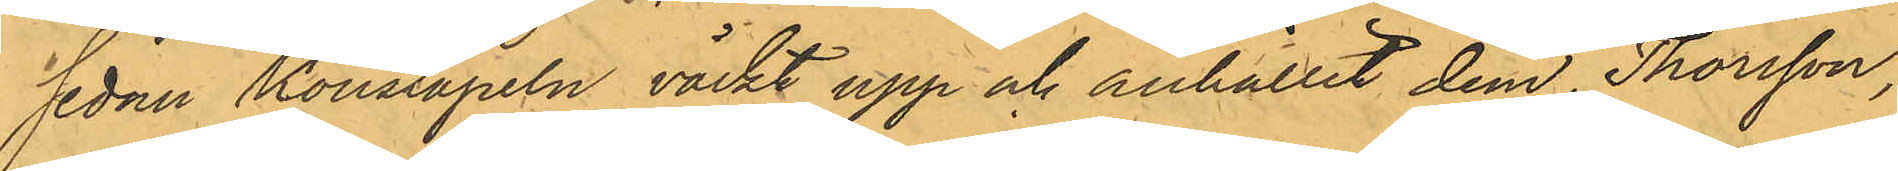sedan Konstapeln väckt upp och anhållit dem, Thorsson,
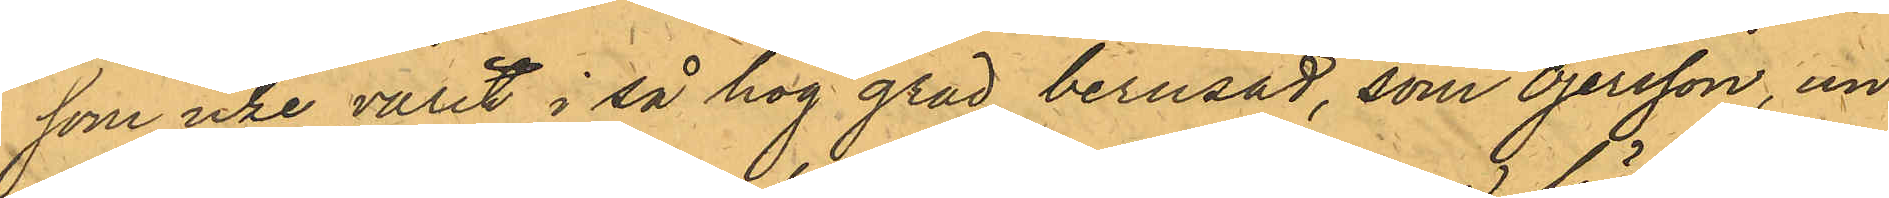som icke varit i så hög grad berusad, som Öjersson, un¬
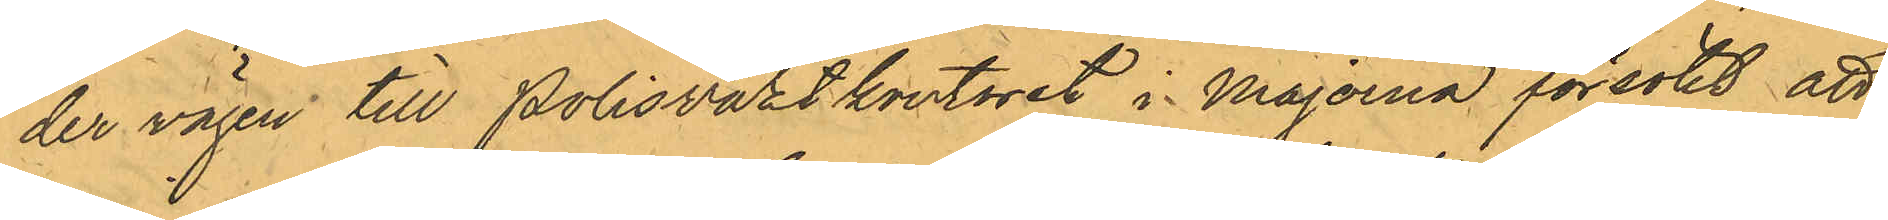der vägen till Polisvaktkontoret i Majorna försökt att
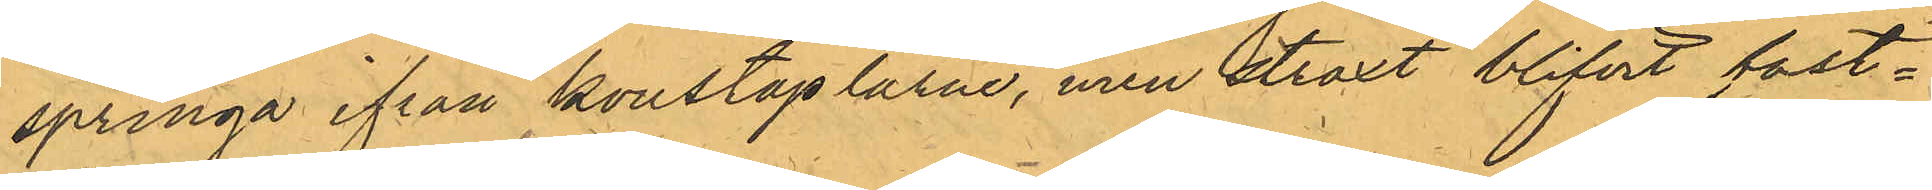springa ifrån konstaplarne, men straxt blifvit fast¬
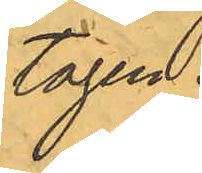tagen.
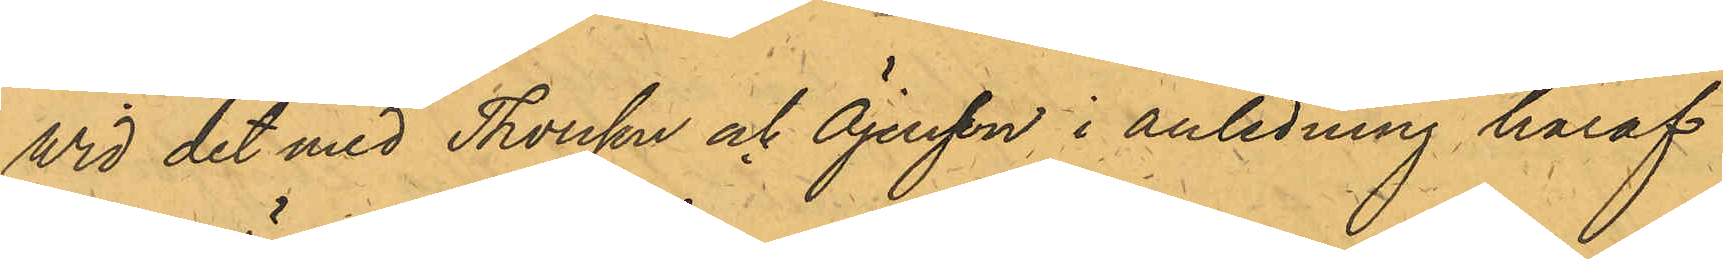Wid det med Thorsson och Öjersson i anledning häraf
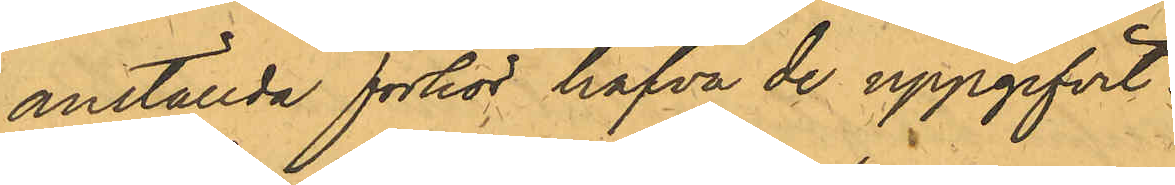anställda förhör hafva de uppgifvit:
